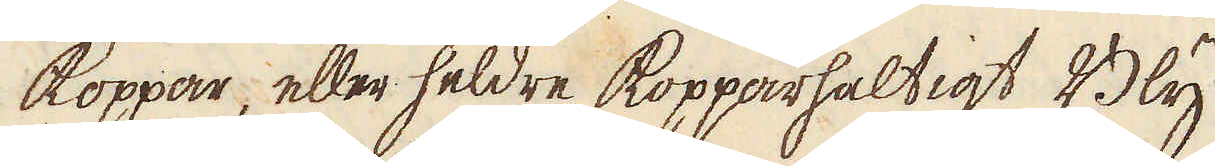Koppar, eller heldre koppparhaltigt Bly
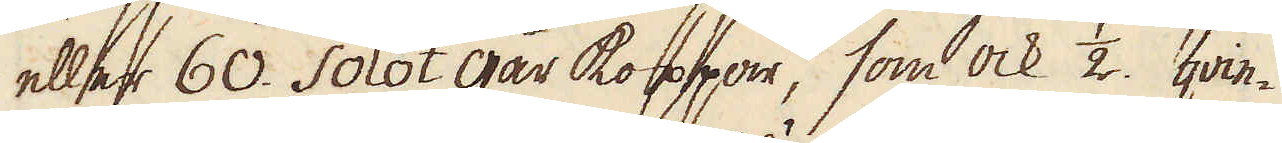eller 60. Solot går koppar, som ock 1/2 qvin-
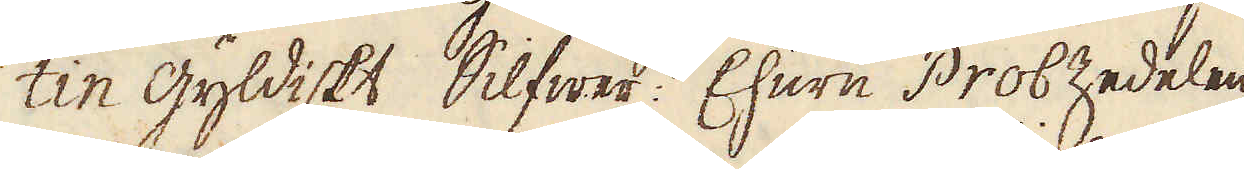tin gyldiskt Silfwer. Ehuru Prob Zedelen
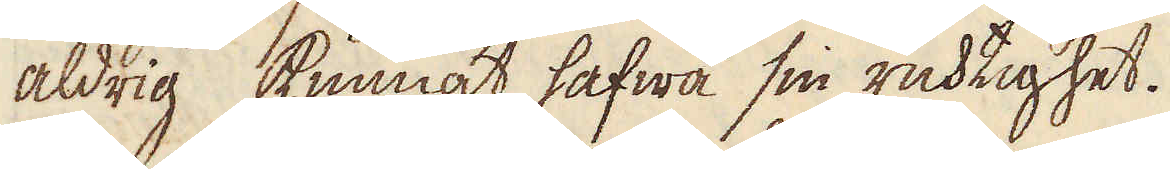aldrig kunnat hafwa sin ricktighet.
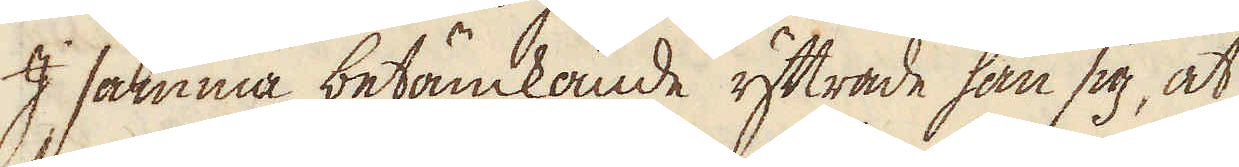I samma betänckande yttrade han sig, at
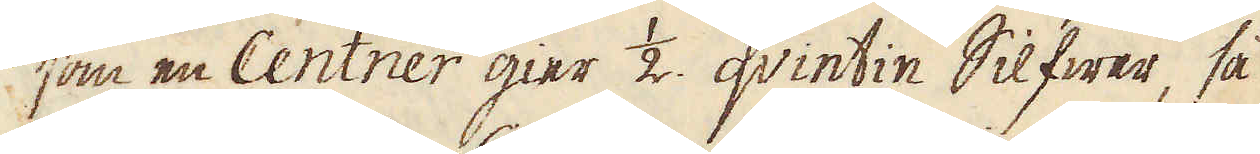som en Centner gier 1/2 qvintin Silfwer, så
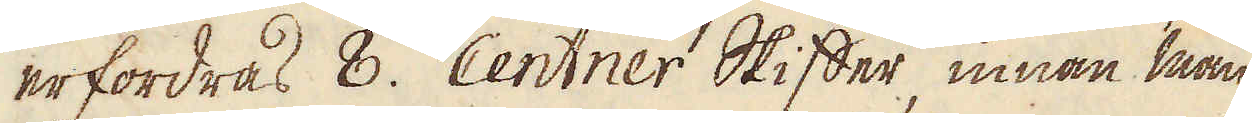erfordras 8. Centner Skiffer, innan man
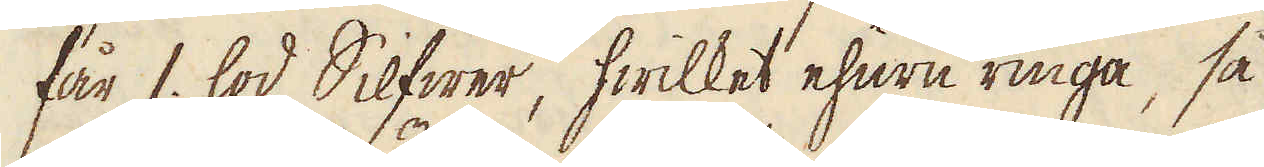får 1 lod Silfwer, hwilket ehuru ringa, så
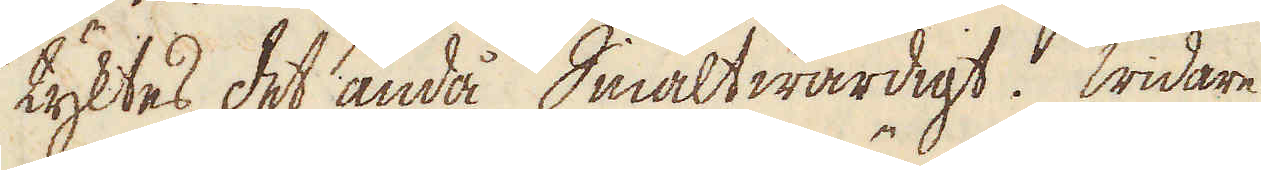tyktes det ändå Smältwärdigt. Widare
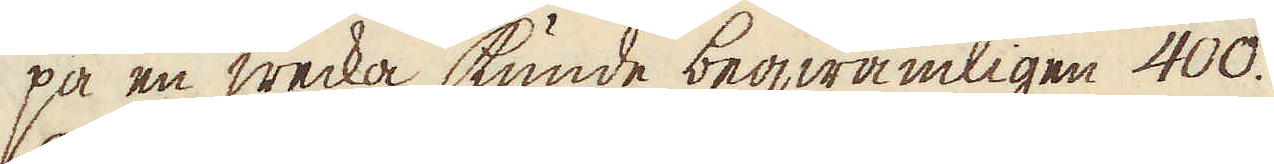på en wecka kunde beqwämligen 400.
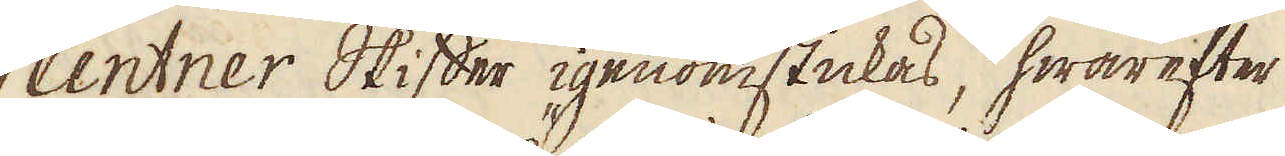Centner Skiffer igenomstickas, hwarefter
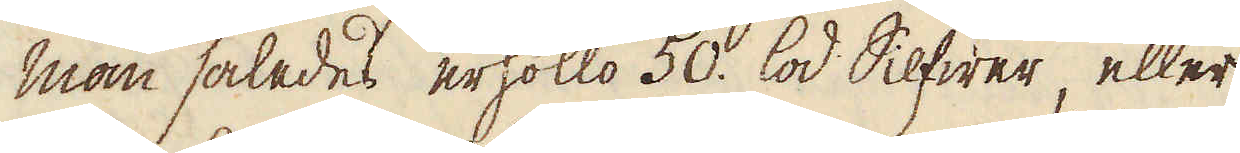Man således erhöllo 50. lod Silfwer, eller
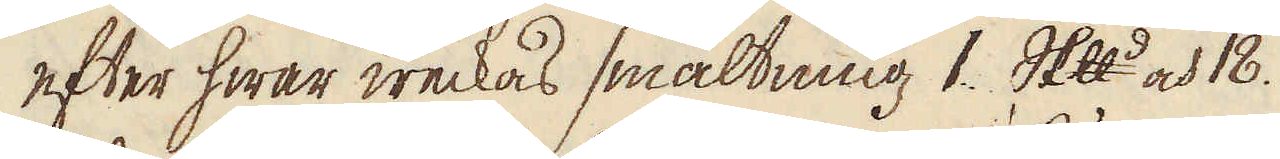efter hwar weckas smältning 1. skeppund och 18.
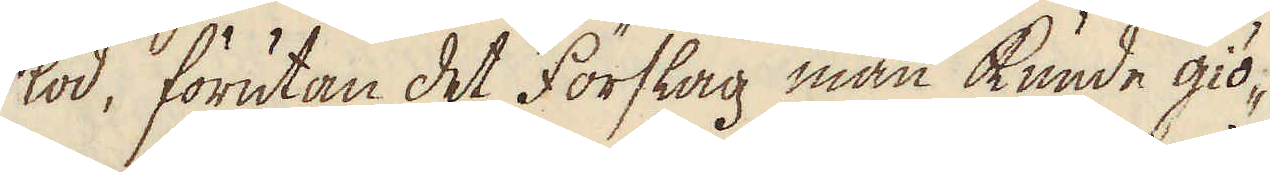lod, förutan det Förslag man kunde giö-
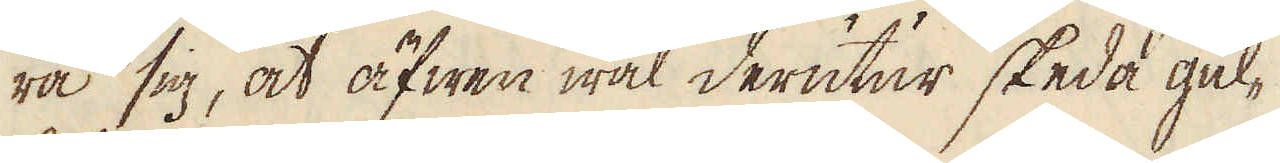ra sig, at äfwen wäl derutur skeda gul-
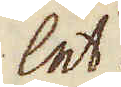let.
